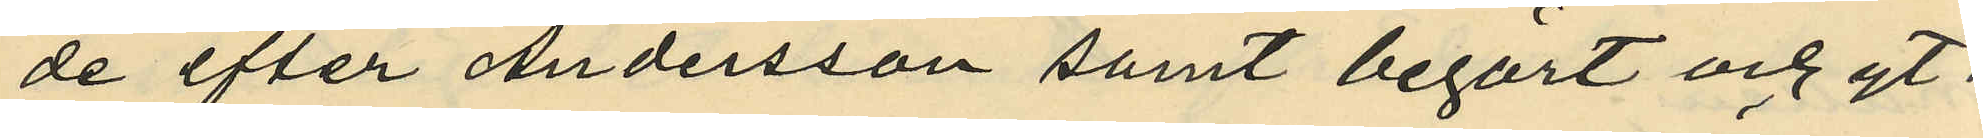de efter Andersson samt begärt och yt¬
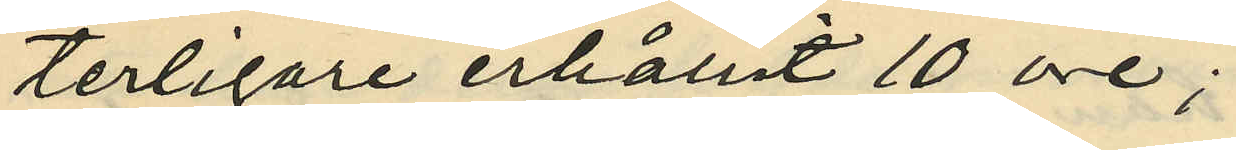terligare erhållit 10 öre;
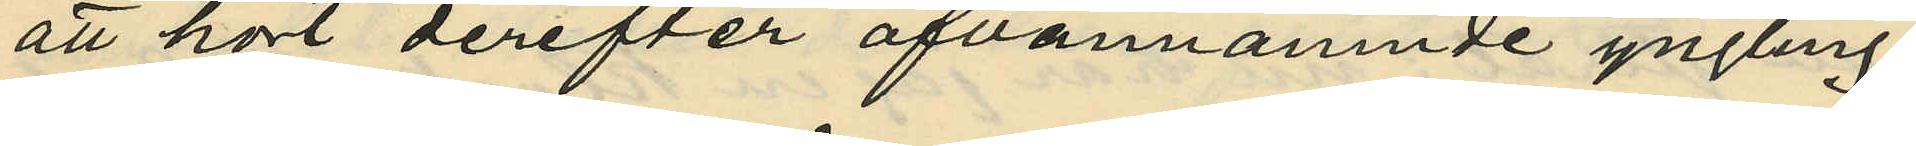att kort derefter ofvannämnde yngling
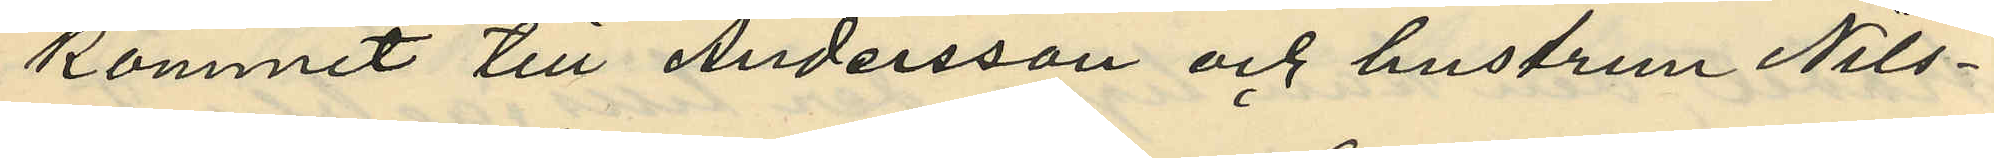kommit till Andersson och hustrun Nils¬
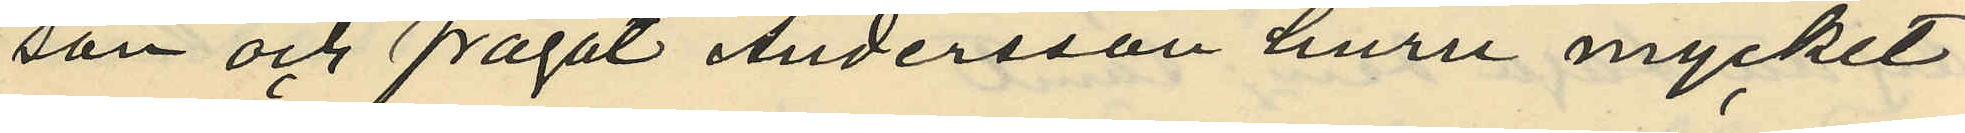son och frågat Andersson huru mycket
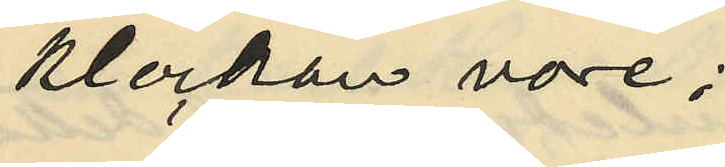klockan vore;
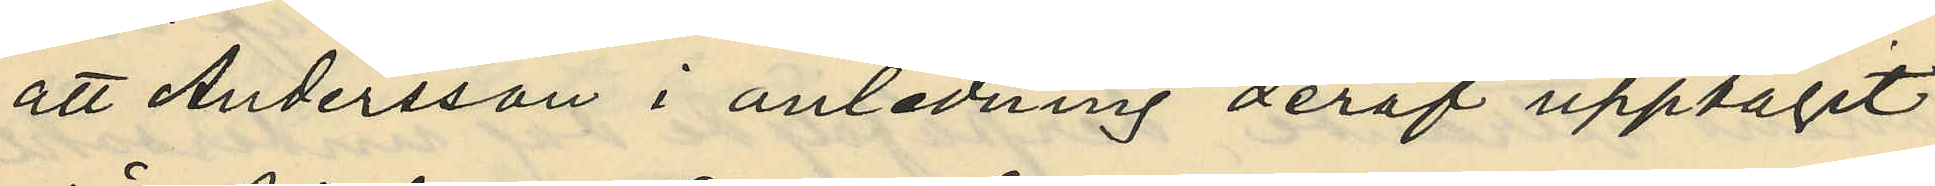att Andersson i anledning deraf upptagit
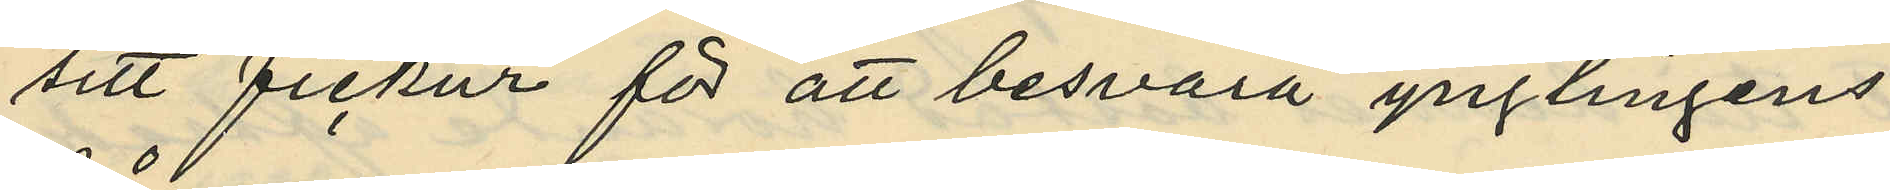sitt fickur för att besvara ynglingens
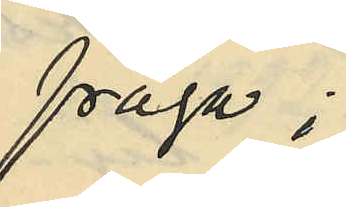fråga;
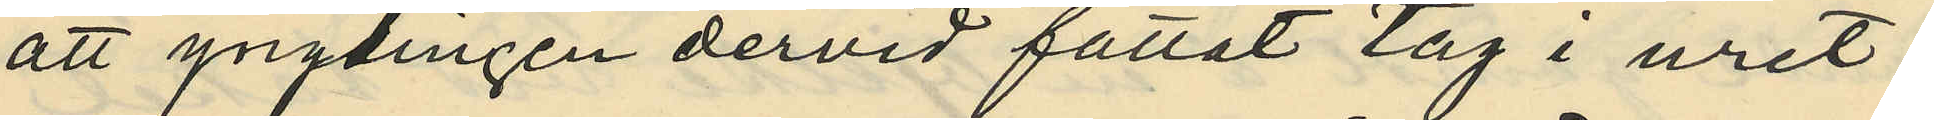att ynglingen dervid fattat tag i uret,
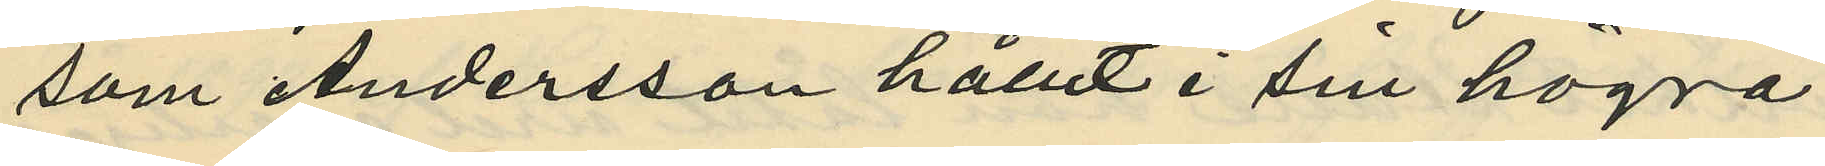som Andersson hållit i sin högra
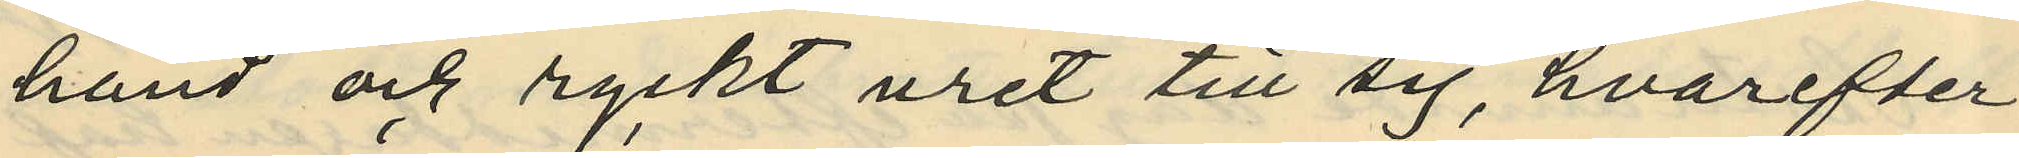hand och ryckt uret till sig, hvarefter
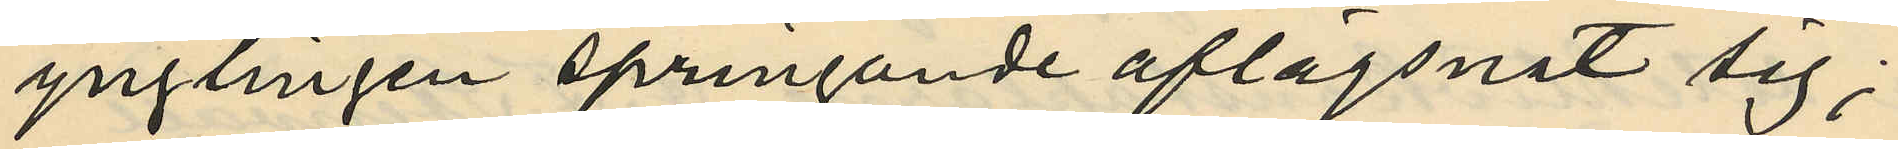ynglingen springande aflägsnat sig;
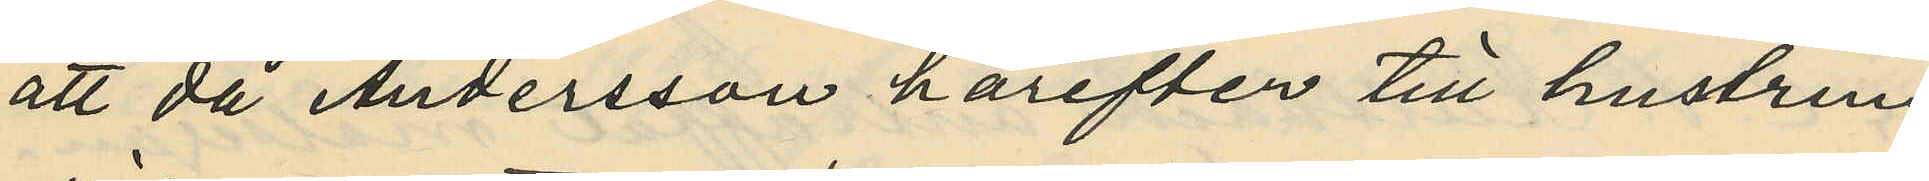att då Andersson härefter till hustrun
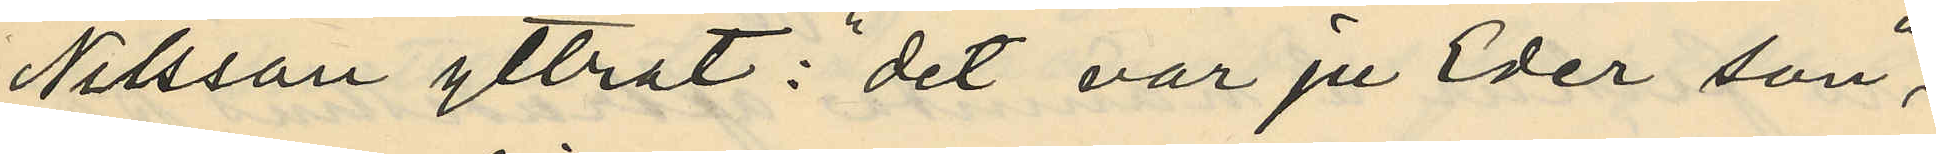Nilsson yttrat: "det var ju Eder son",
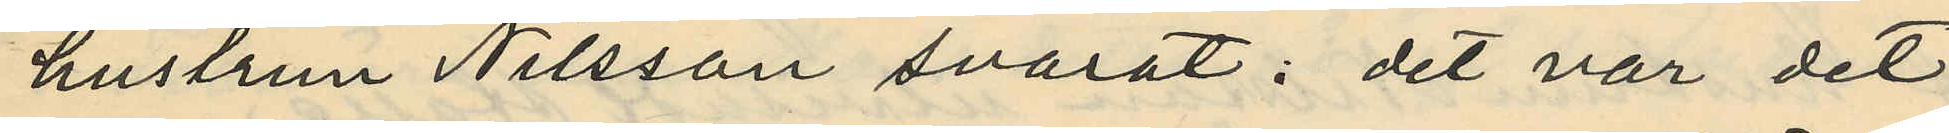hustrun Nilsson svarat: det var det
